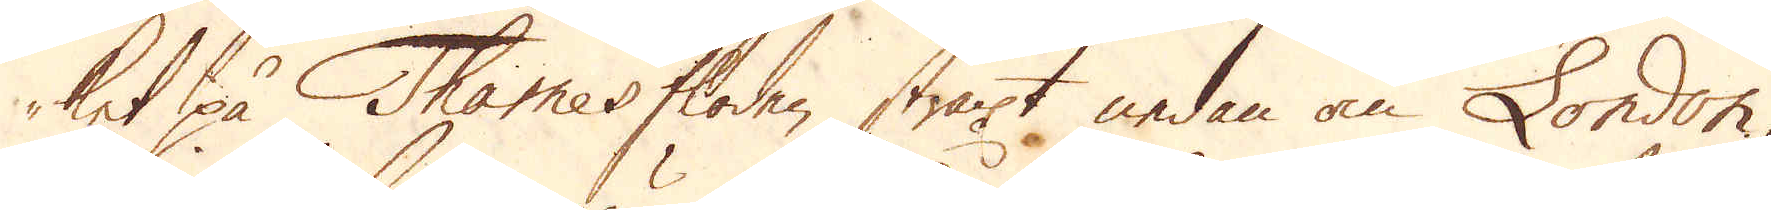ket på Thamesfloden straxt nedan om London,
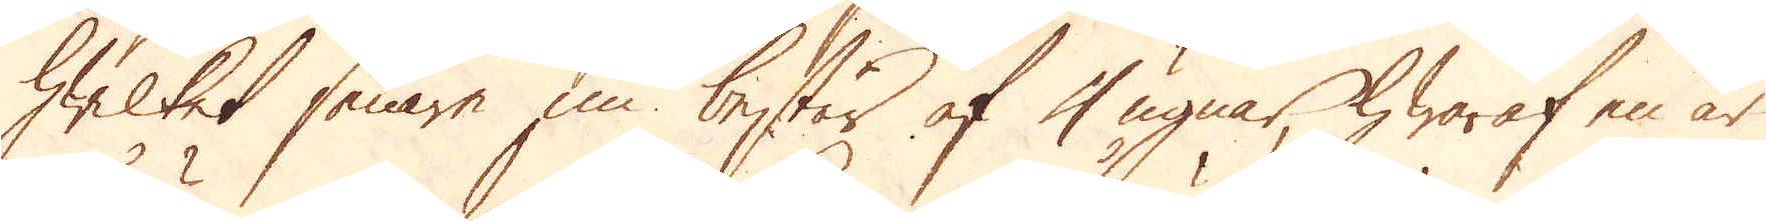hwilket senare nu består af 4 ugnar, hwaraf en är
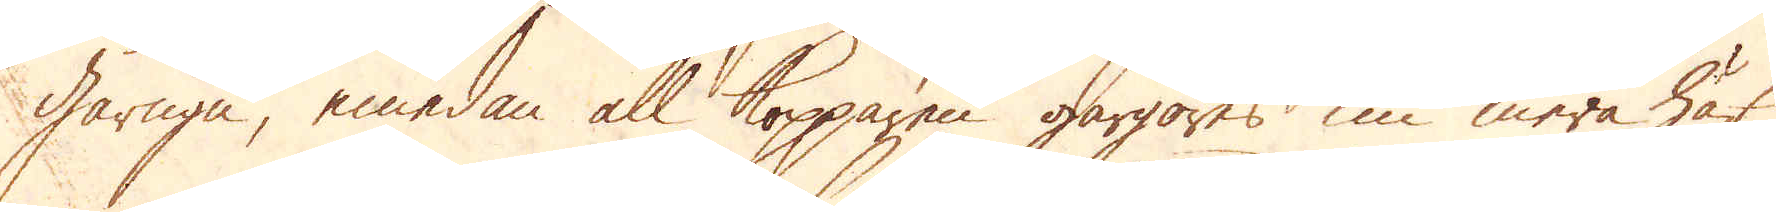gårugn, emedan all kopparen gårgöres nu mera här
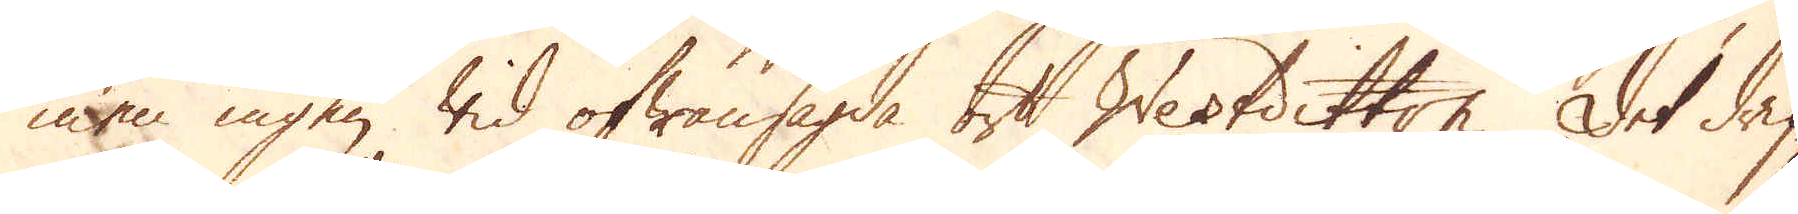men ingen wid ofwansagda ort Westditton. Det drif-
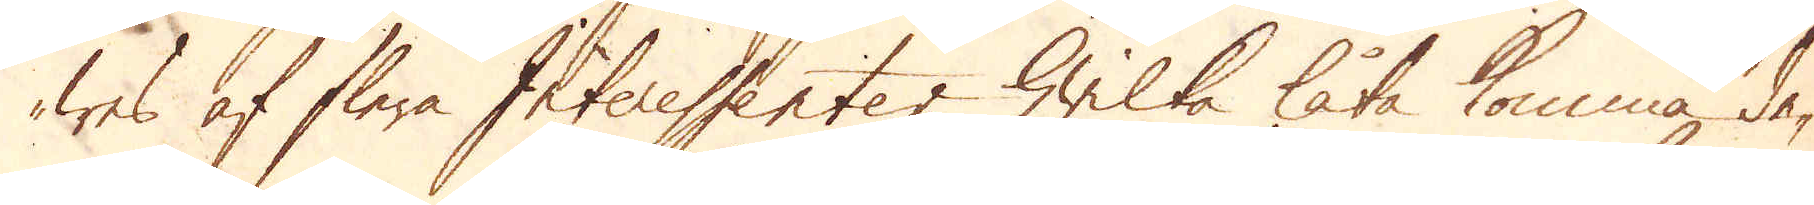wes af flera Interessenter, hwilka låta komma de-
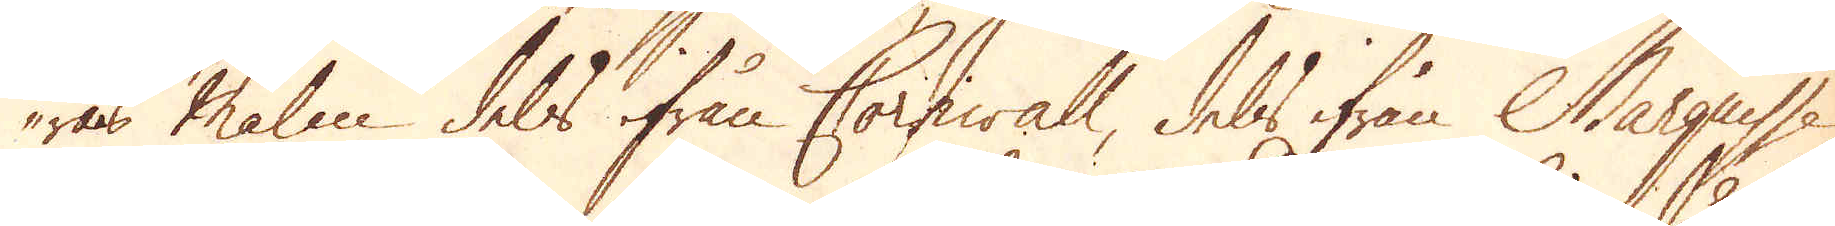ras malm dels ifrån Cornwall, dels ifrån Marguisse
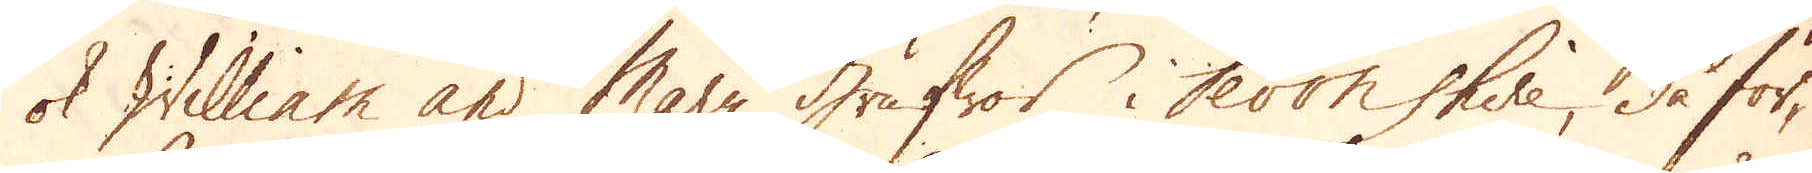ok William and Mary Grufwor i Devonshire då för-
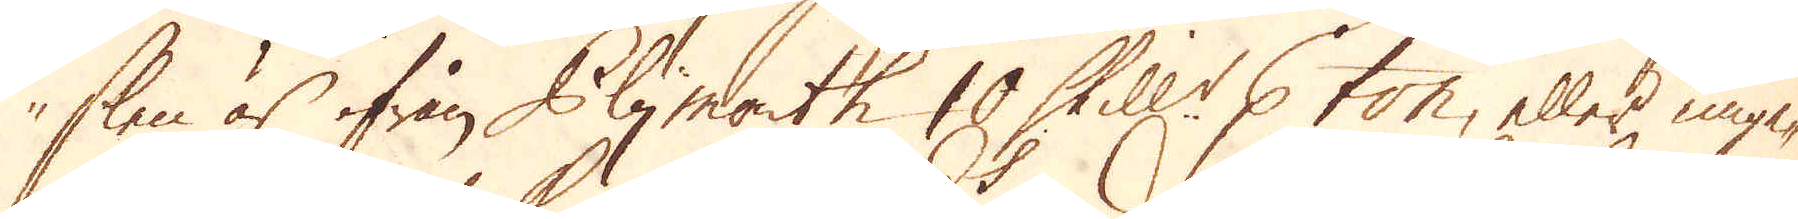slen är ifrån Plymouth 10 Skill:r p ton, eller unge-
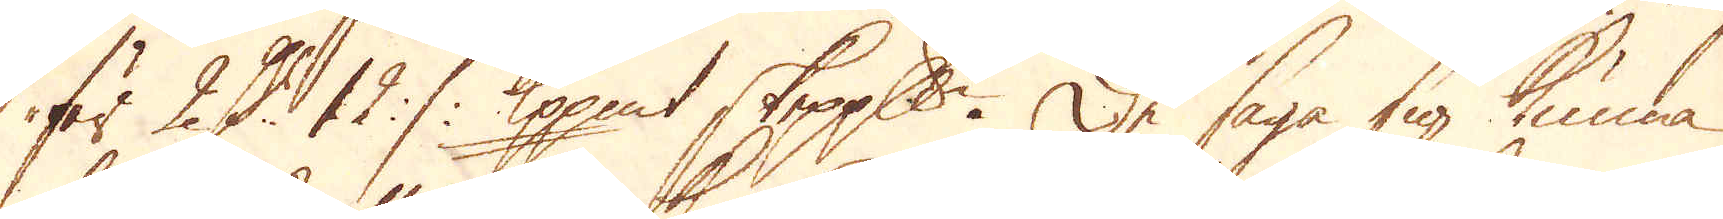fär 2 D:r 12 :/: Kpp:mt skeppundet. De säga sig kunna
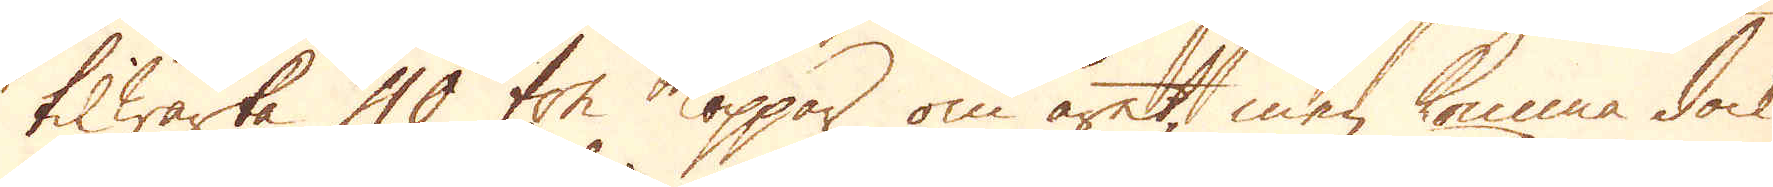tilwärka 40 ton koppar om året, men komma dock
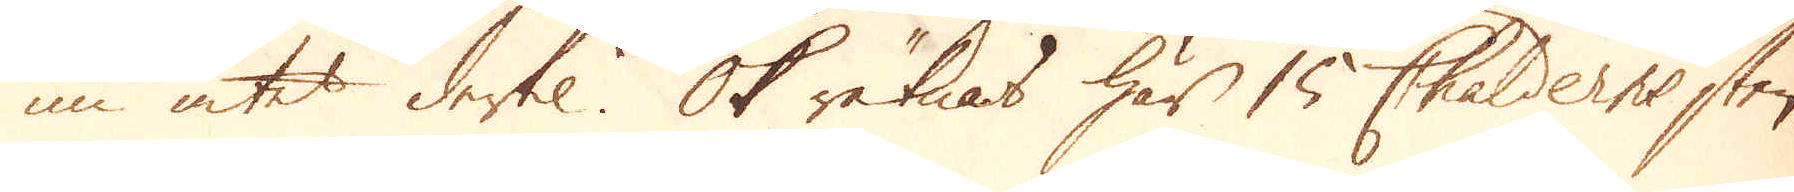nu intet dertil. Ok räknas här 15 Chalderns sten-
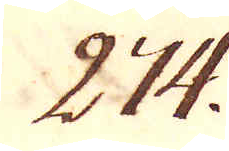274.
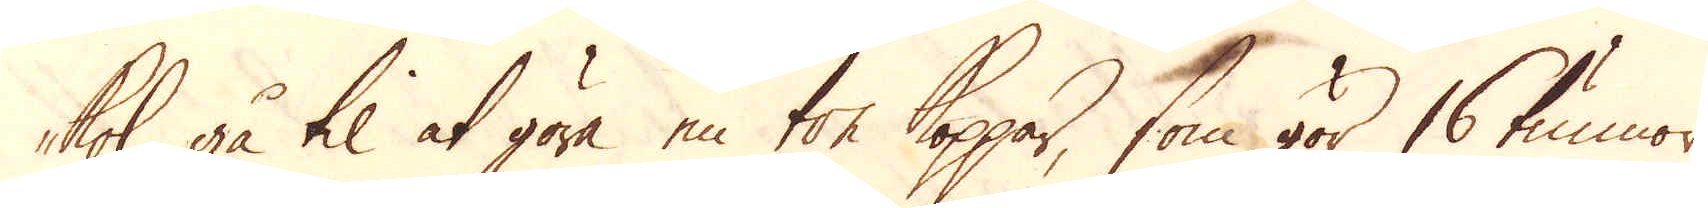kol, gå til at göra en ton koppar, som gör 16 tunnor
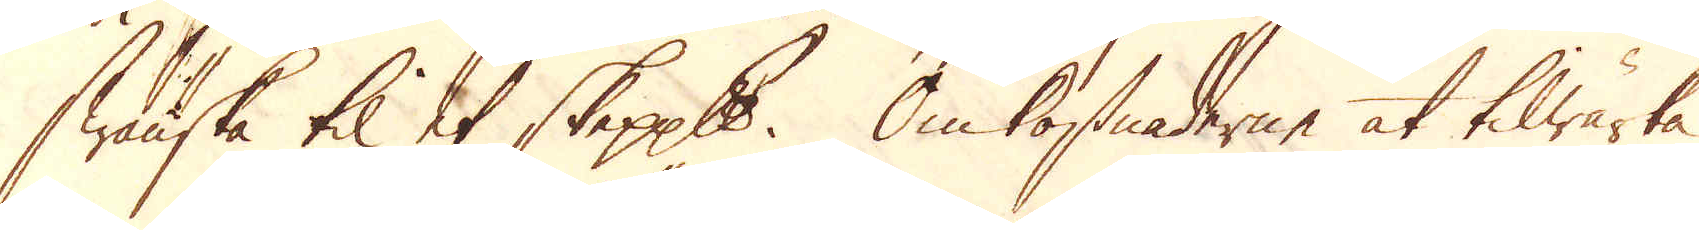Swänska til et skeppund. Omkostnaderne at tilwärka
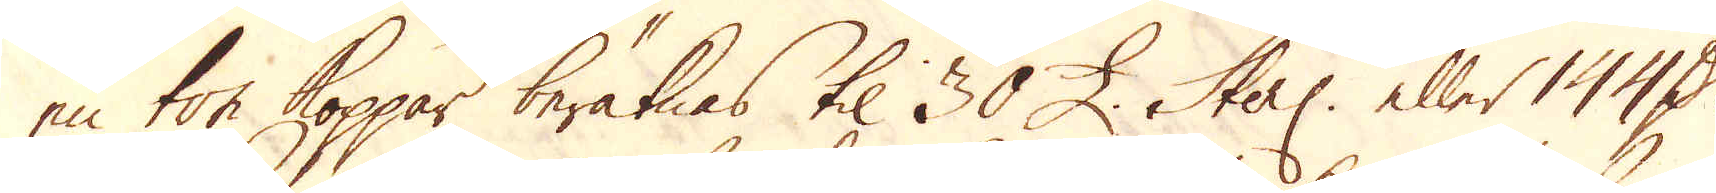en ton Koppar beräknas til 30 £. Sterl: eller 144 D:r
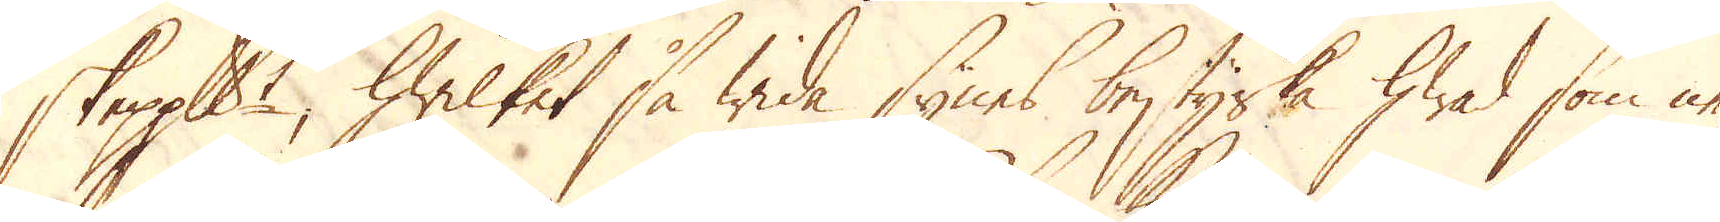skeppundet, hwilket så wida synes bestyrka hwad som ne-
